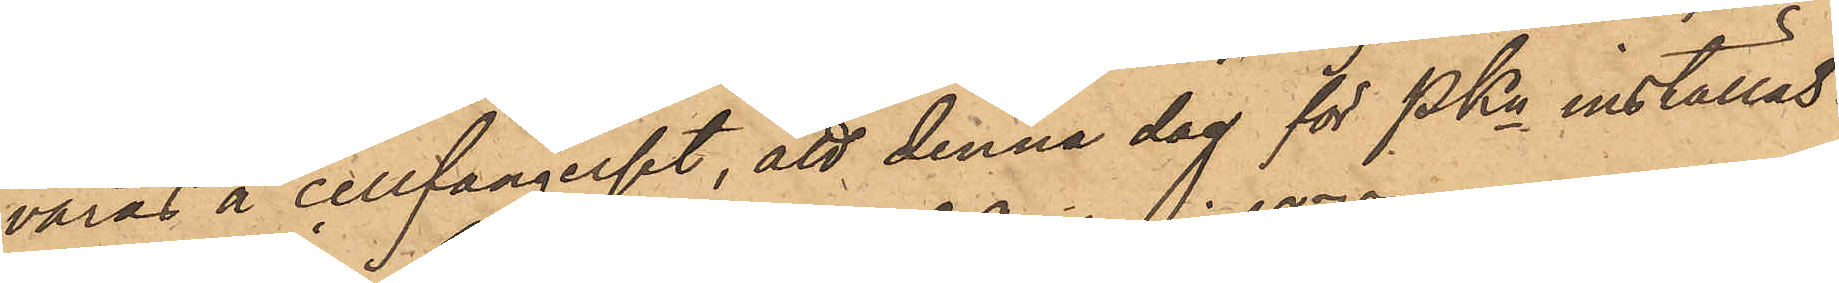varas å cellfängelset, att denna dag för PKn inställas.
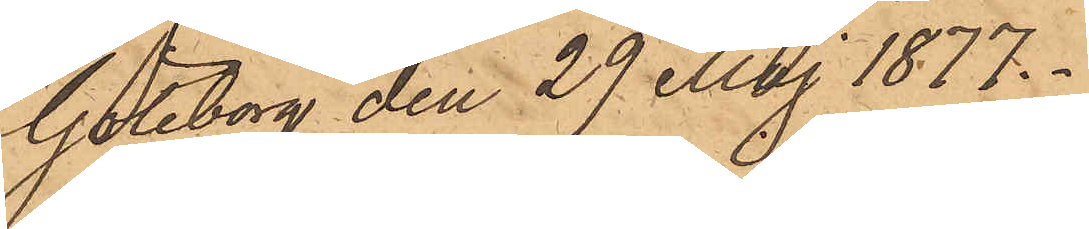Göteborg den 29 Maj 1877.
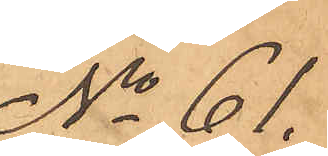No 61.
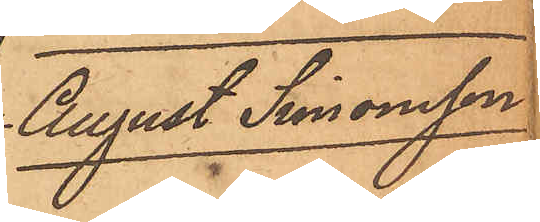August Simonsson
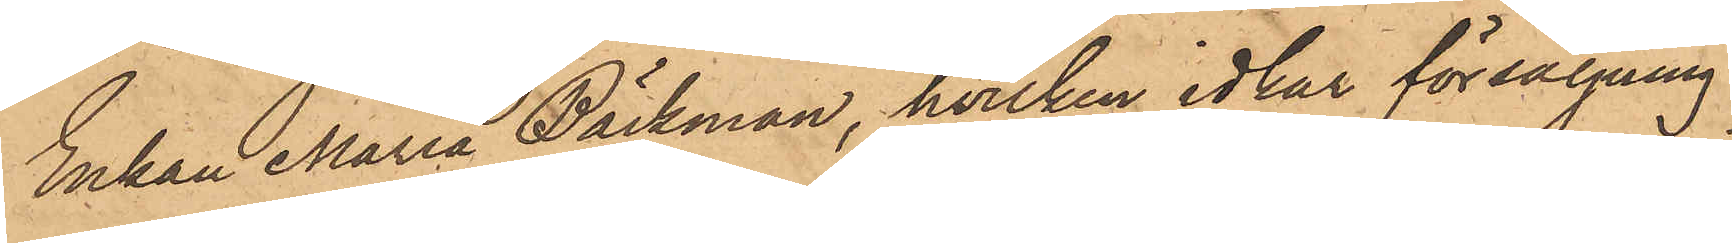Enkan Maria Bäckman, hvilken idkar försäljning
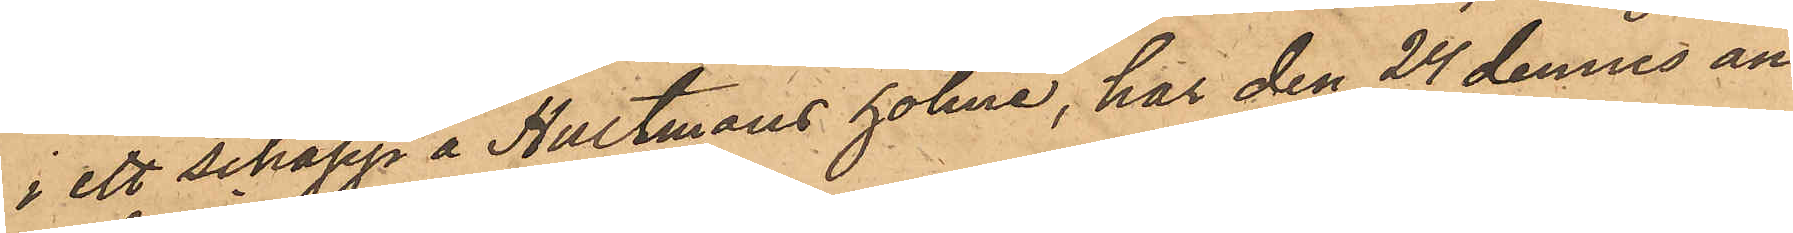i ett schapp å Hultmans holme, har den 24 dennes an¬
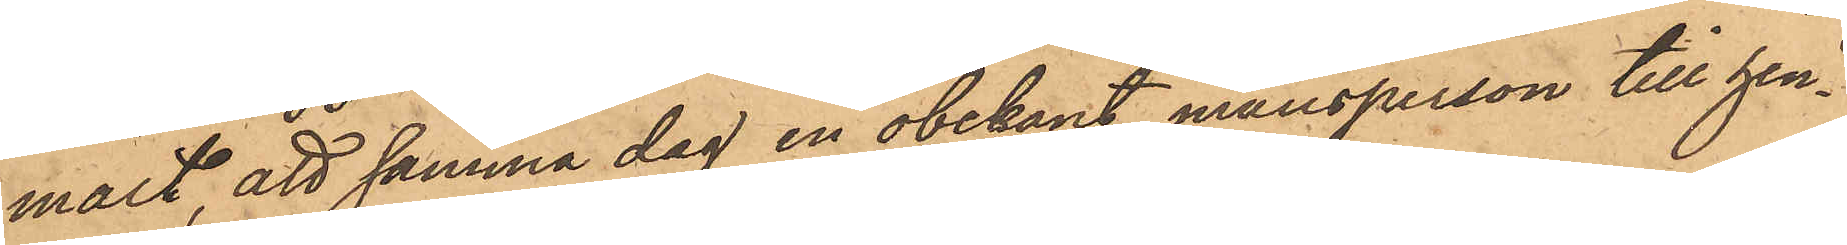mält, att samma dag en obekant mansperson till hen¬
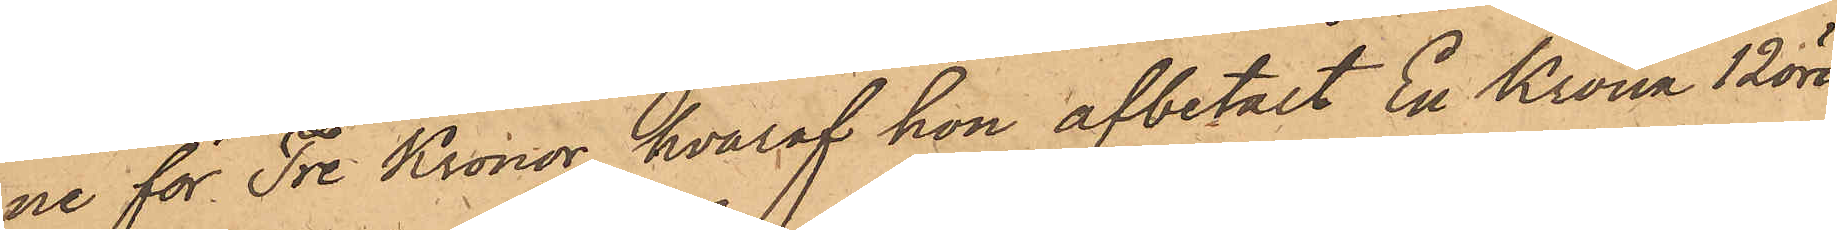ne för Tre Kronor, hvaraf hon afbetalt En Krona 12 öre
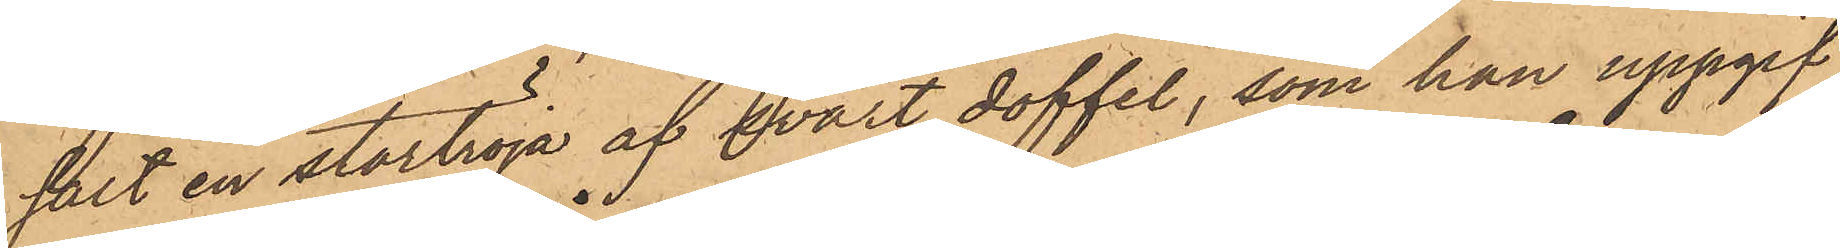sålt en stortröja af svart doffel, som hon uppgif¬
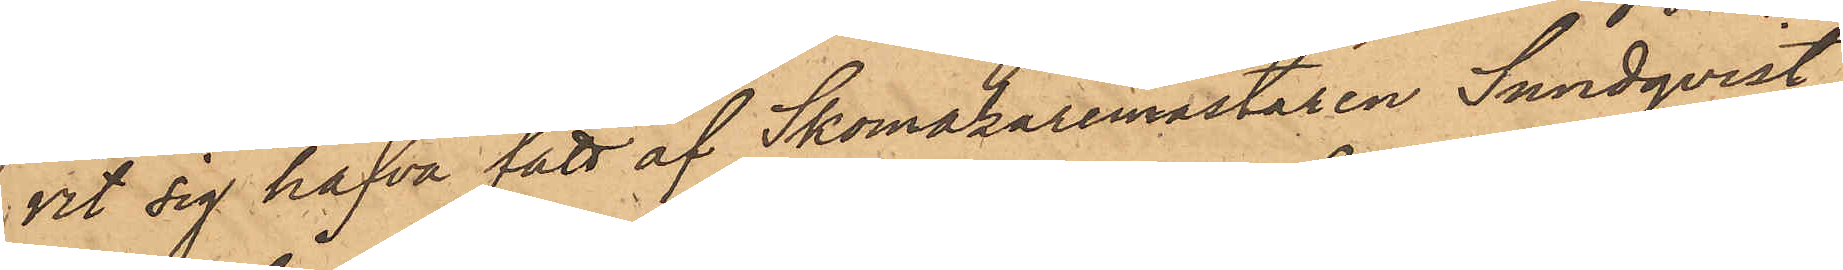vit sig hafva fått af Skomakaremästaren Sundqvist;
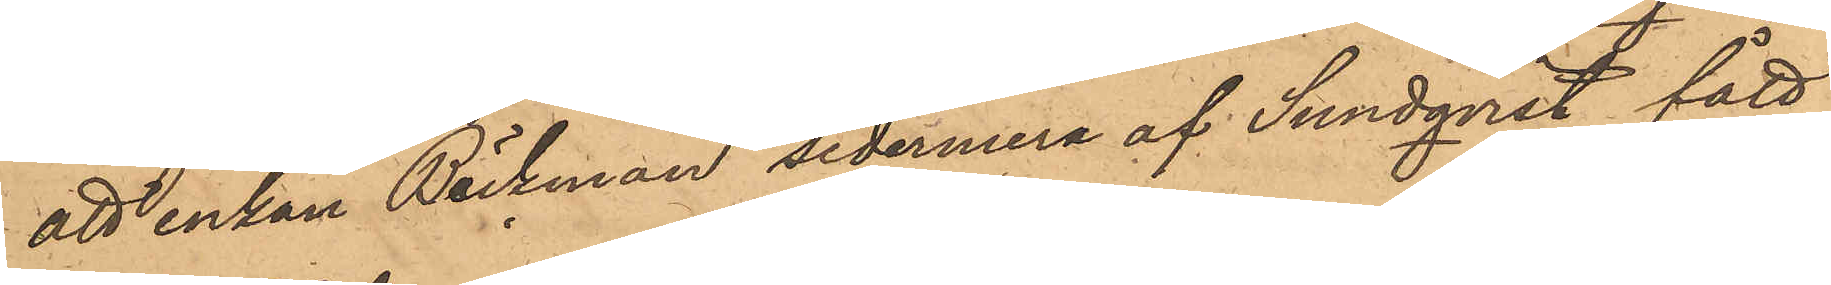att enkan Bäckman sedermera af Sundqvist fått
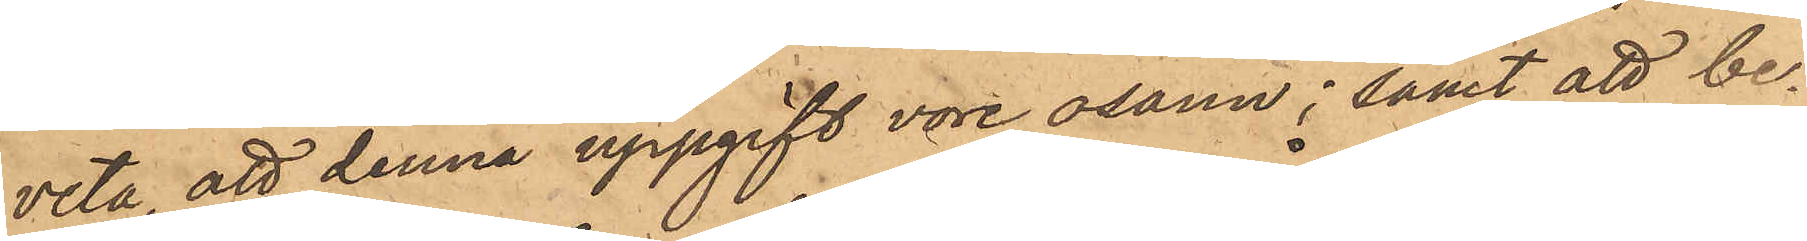veta, att denna uppgift vore osann; samt att be¬
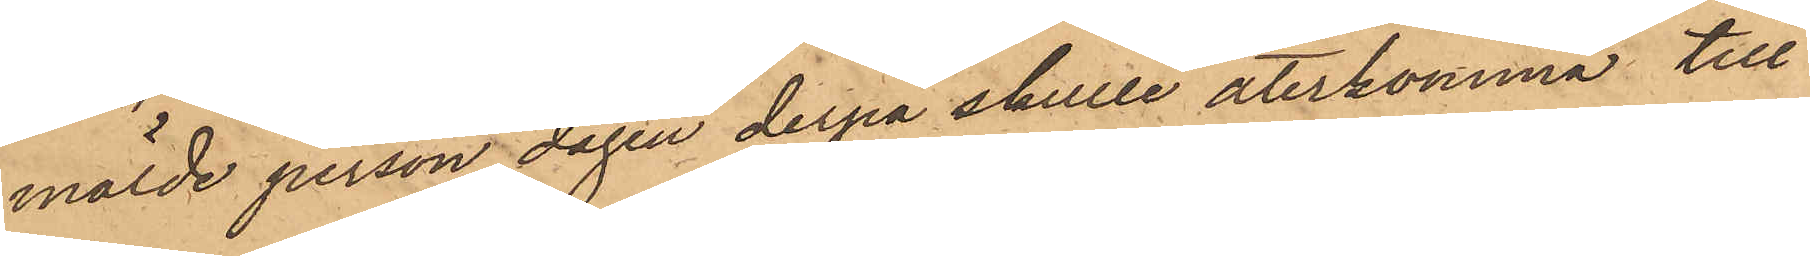mälde person dagen derpå skulle återkomma till
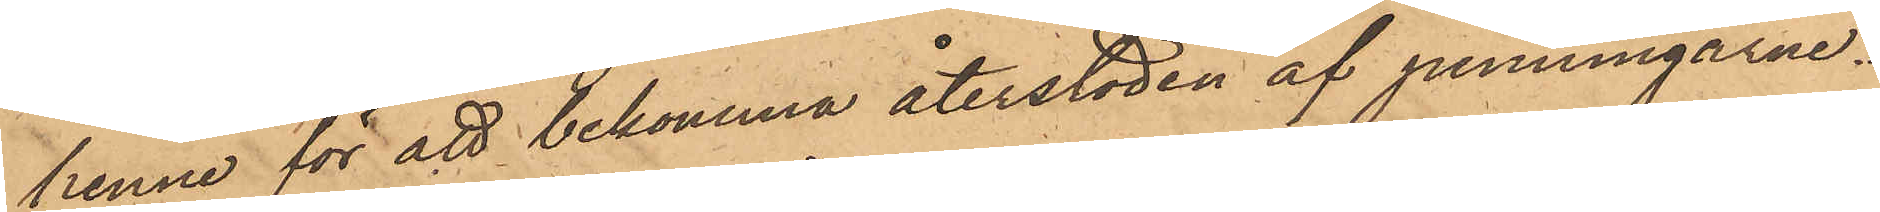henne för att bekomma återstoden af penningarne.
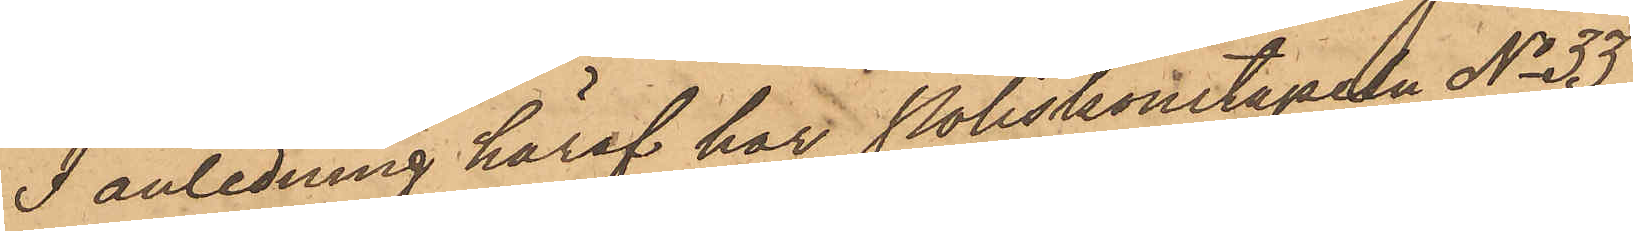I anledning häraf har Poliskonstapeln No 33
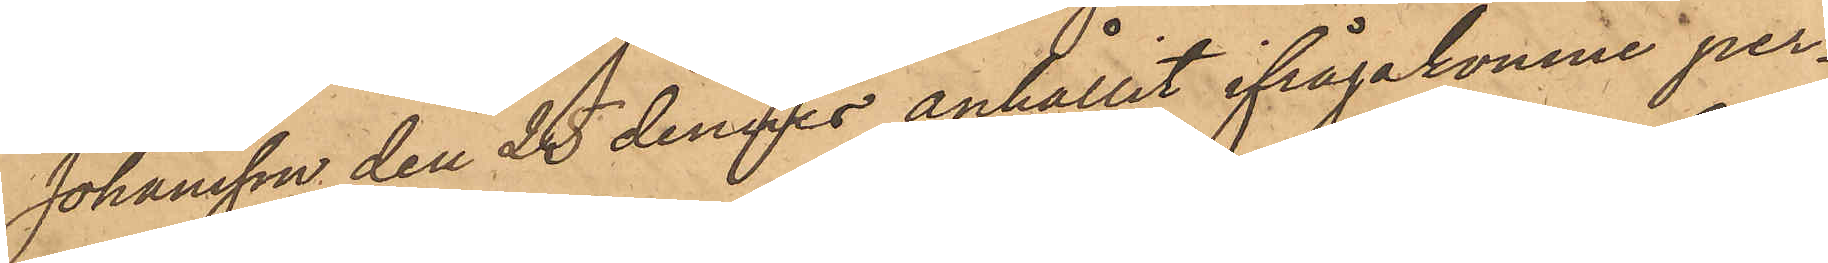Johansson den 25 dennes anhållit ifrågakomne per¬
